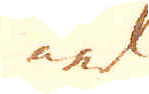ned
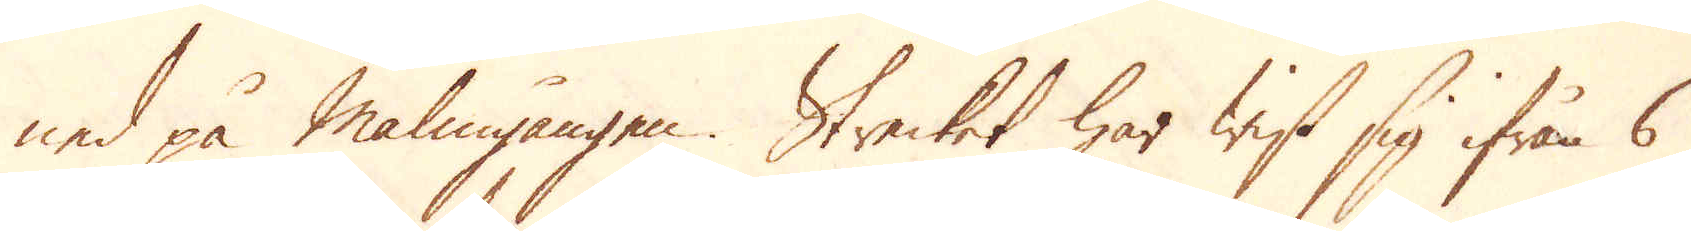ned på malmgången. Strecket har wist sig ifrån 6
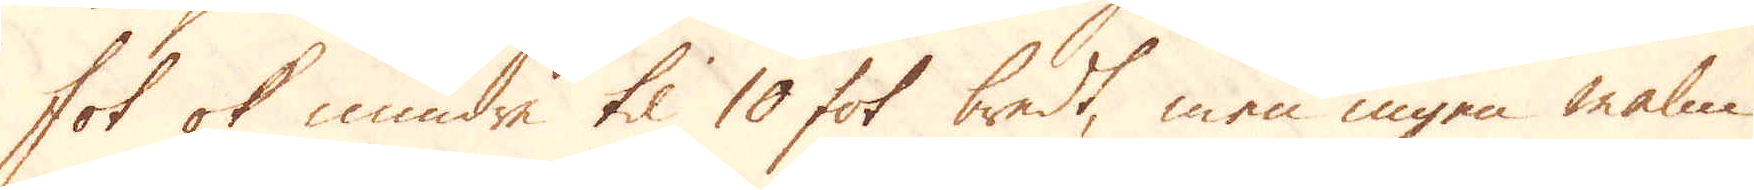fot ok mindre til 10 fot bredt, men ingen malm
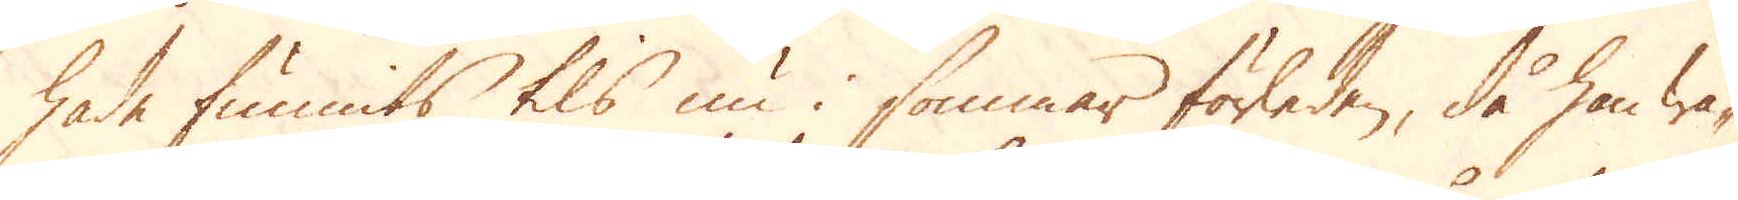hade funnits tils nu i sommar förleden, då han wa-
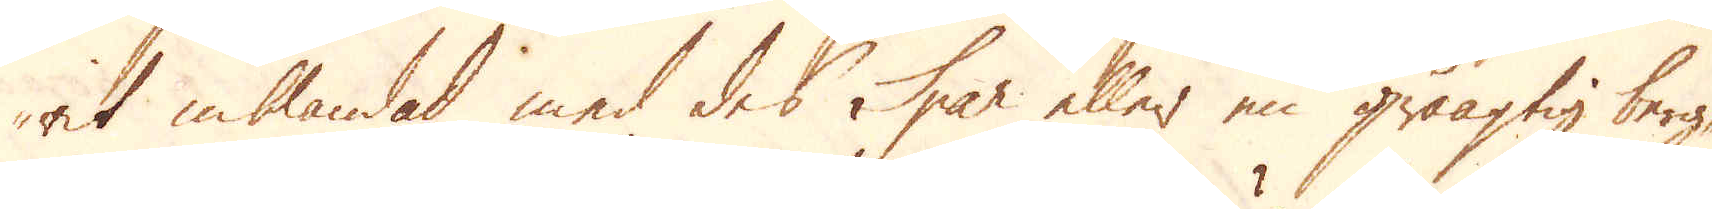rit inblandad med des Spar eller en gråagtig berg-
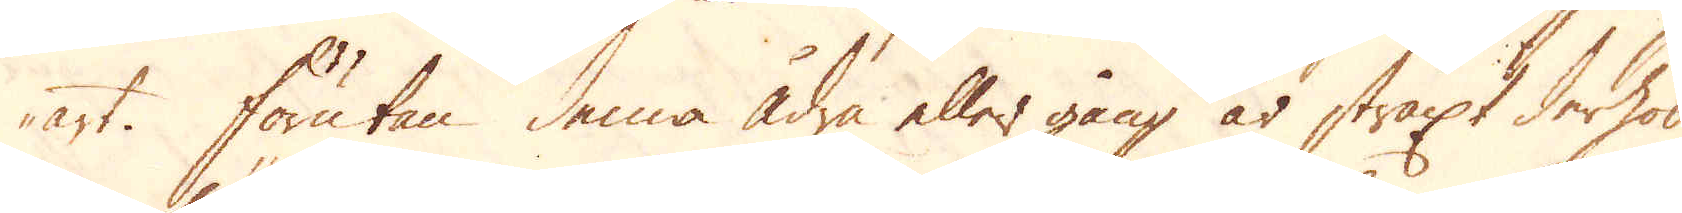art. Förutan denna ådra eller gång är straxt derhos
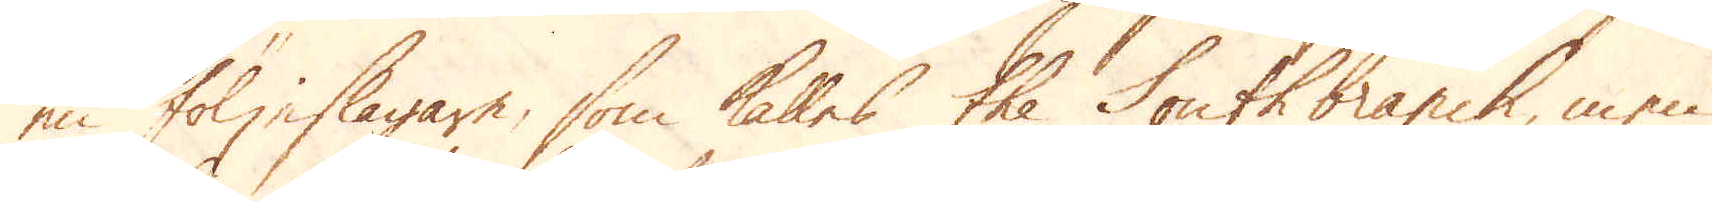en följeslagare, som kalles the South branch, men
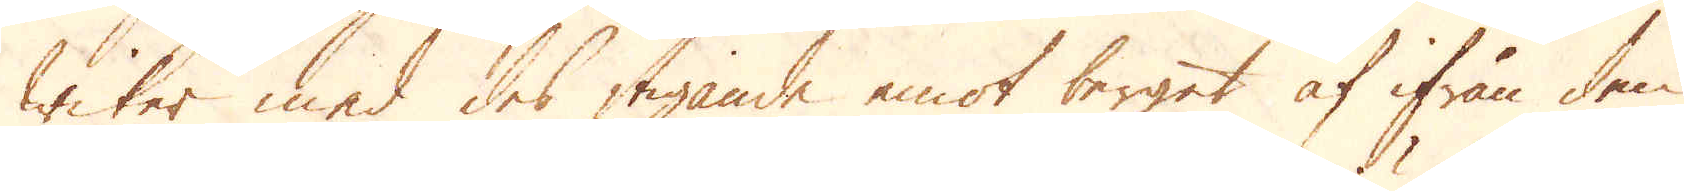wiker med des stigande emot berget af ifrån den
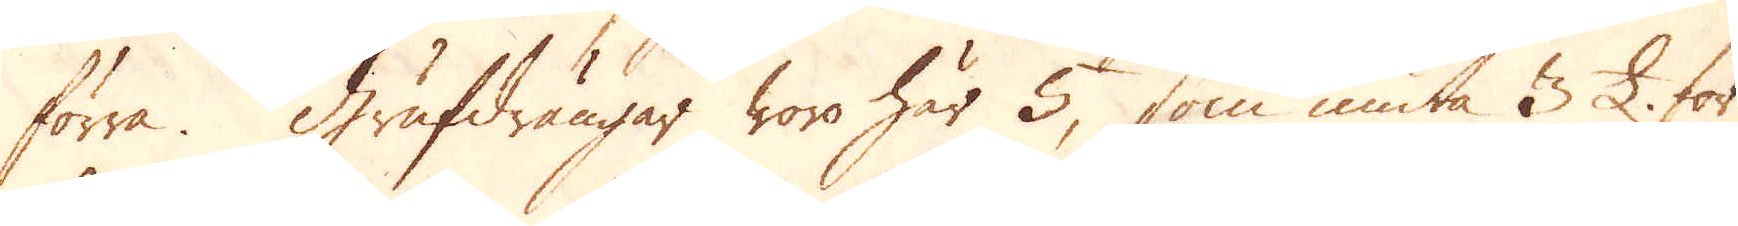förra. Grufdrängar woro här 5, som niuta 3 £. för
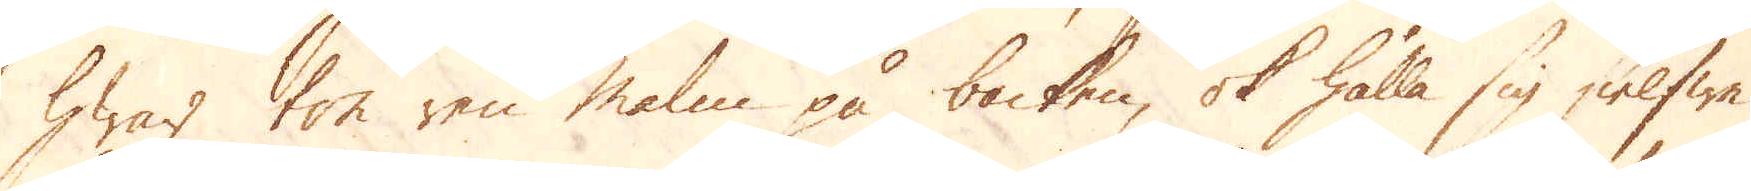hwar ton ren Malm på backen, ok hålla sig sielfwe
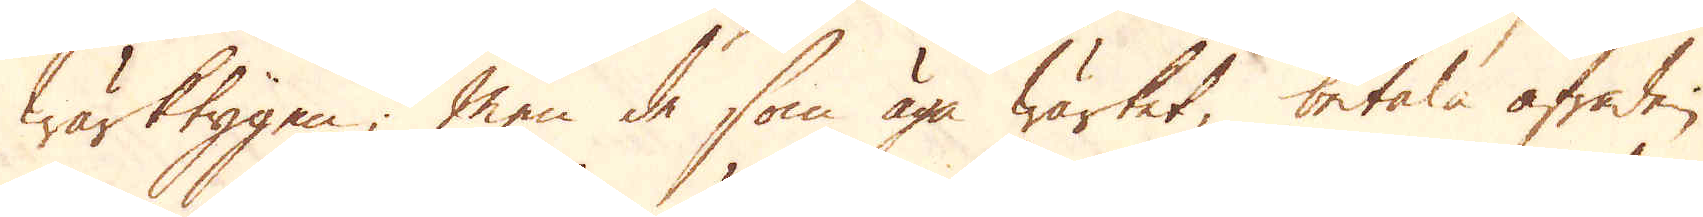Wärktygen; Men de som äga Wärket, betala afraden
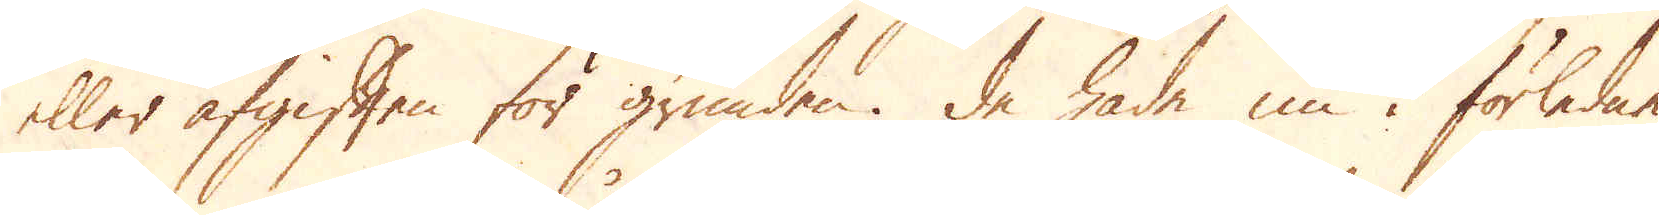eller afgiften för grunden. De hade nu i förledne
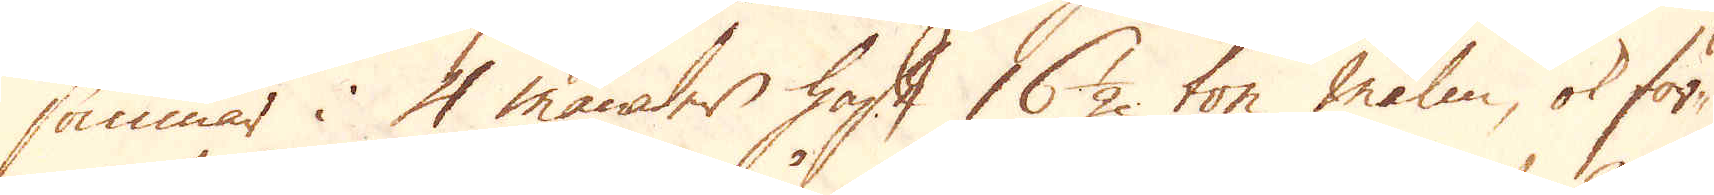sommar i 4 månader haft 16 1/2 ton malm, ok för-
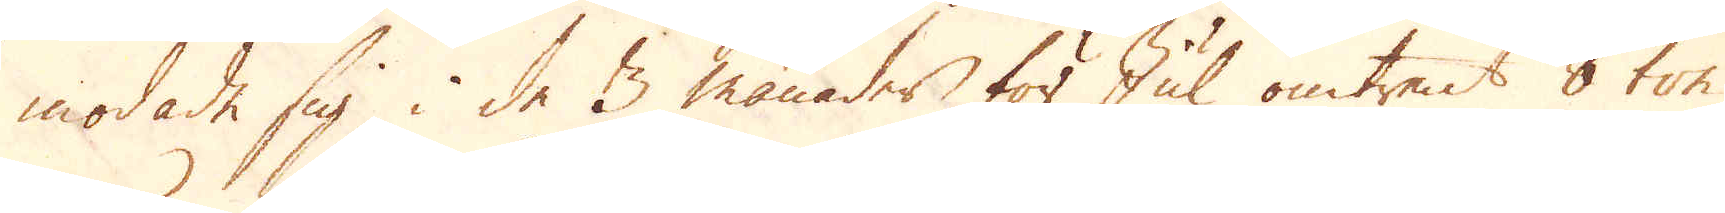modade sig i de 3 månader för Jul omtrent 8 ton
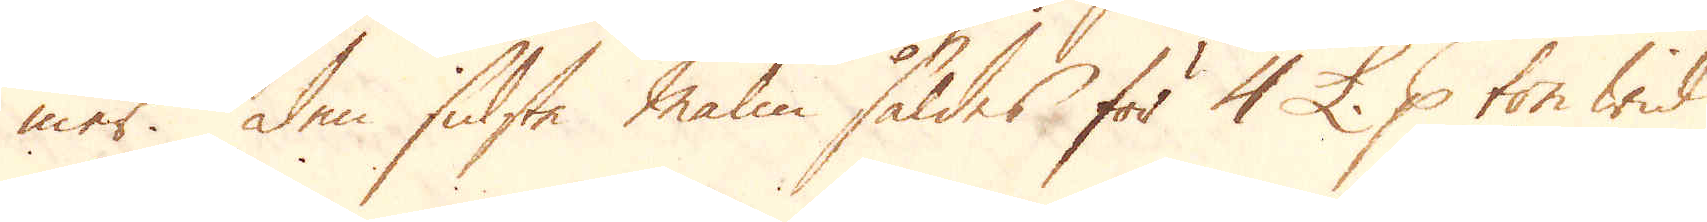mer. Den sidste Malm såldes för 4 £. p ton wid
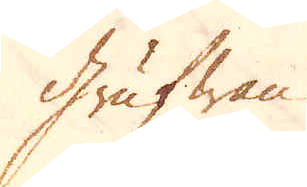Grufwan.
